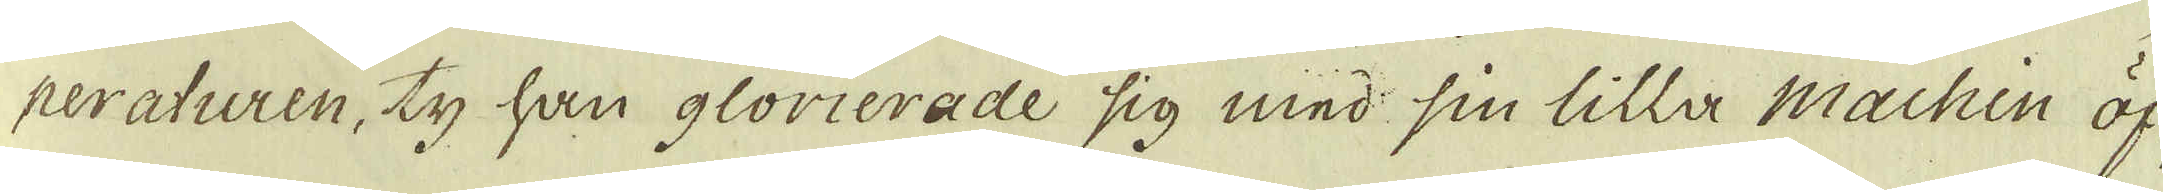peraturen, ty han glorierade sig med sin lilla Machin öf-
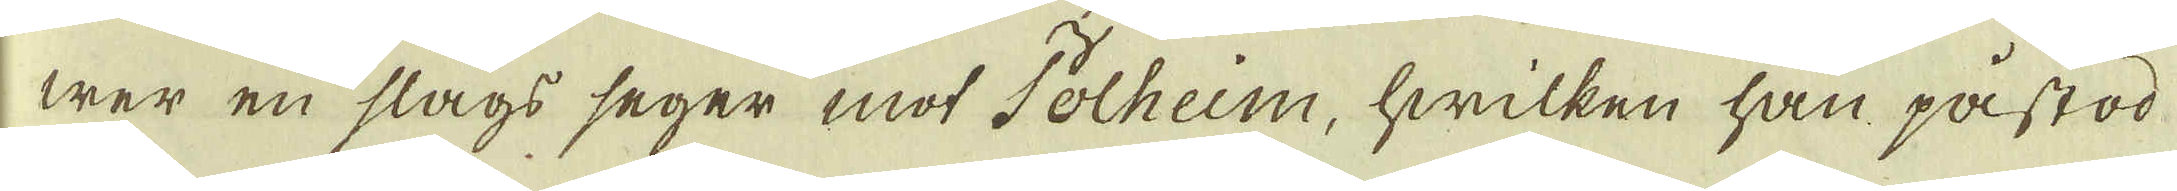wer en slags seger mot Polheim, hwilken han på stod
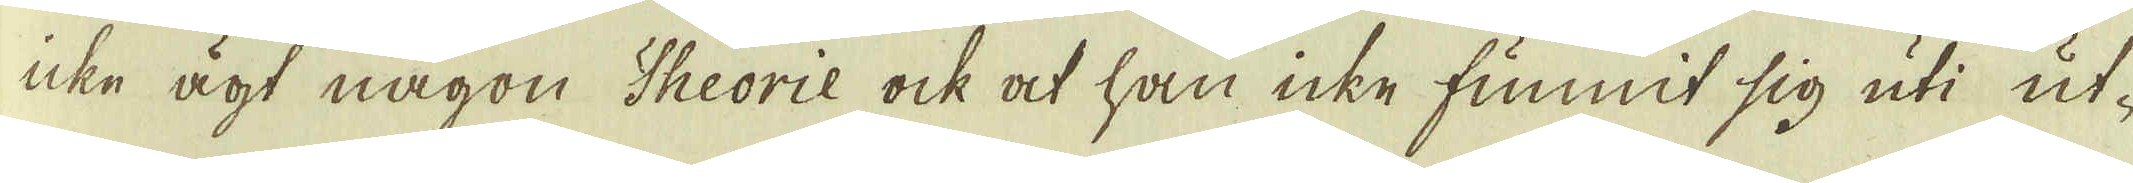icke ägt någon Theorie ock at han icke funnit sig uti ut-
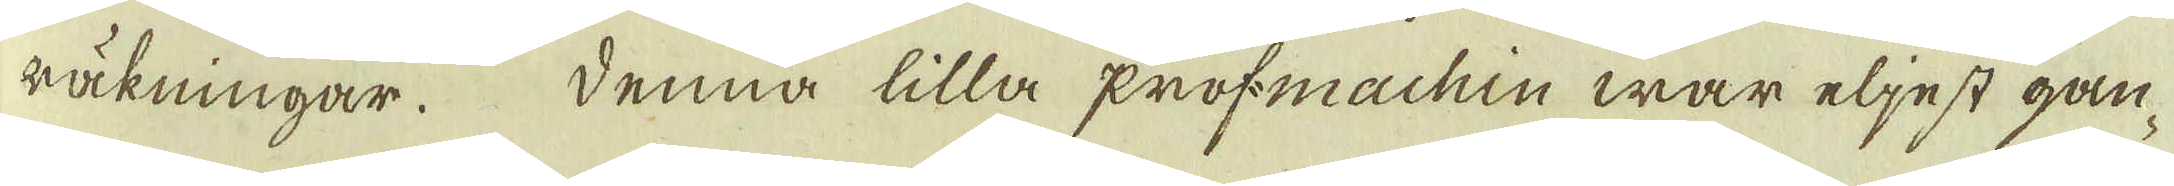räkningar. Denna lilla profmachin war eljest gån-
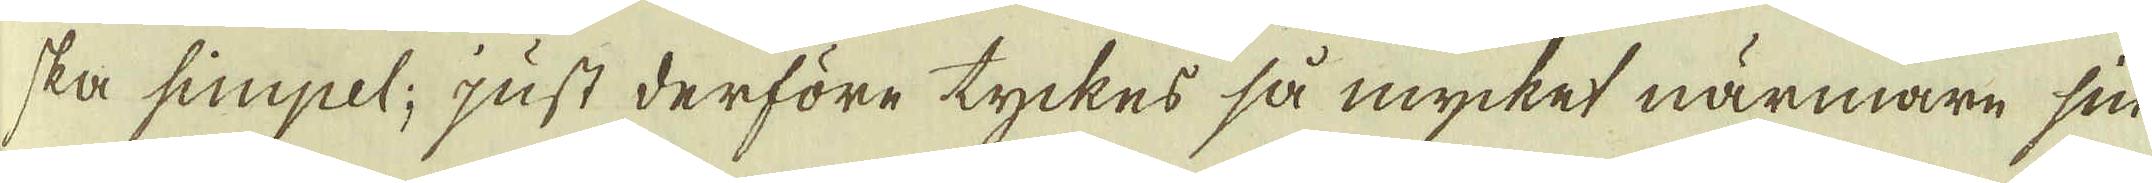ska simpel; just derföre tyckes så mycket närmare sin
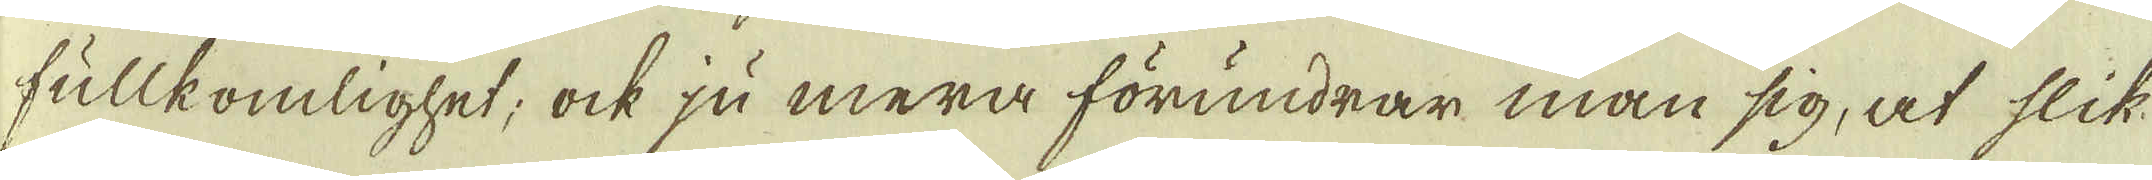fullkomlighet; ock ju mera förundrar man sig, at slik-
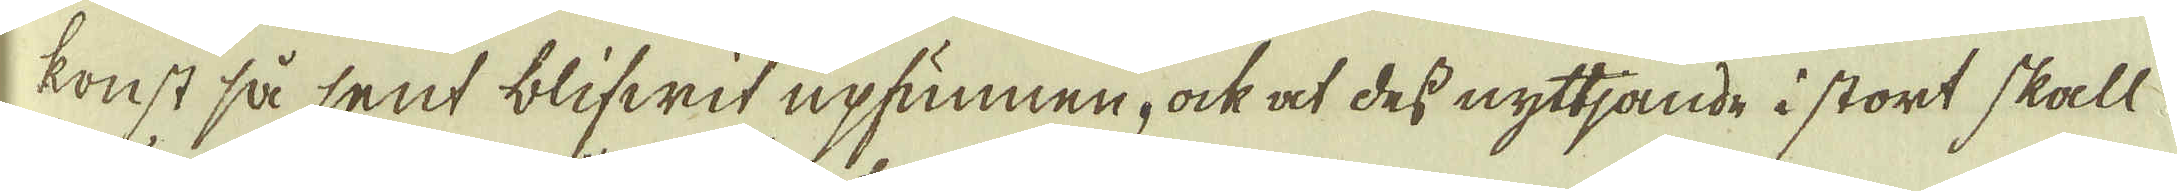konst så sent blifwit upfunnen, ock at des nyttjande i stort skall
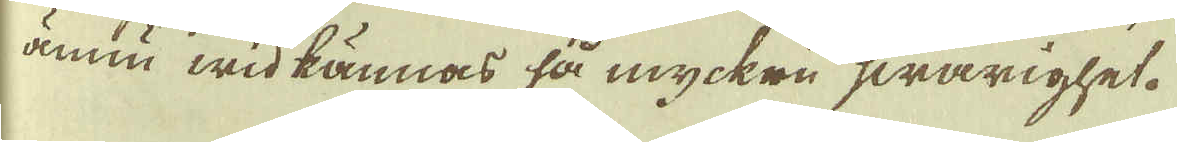ännu wid kännas så mycken hwårighet.
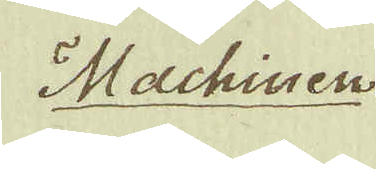Machiuen
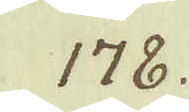178.
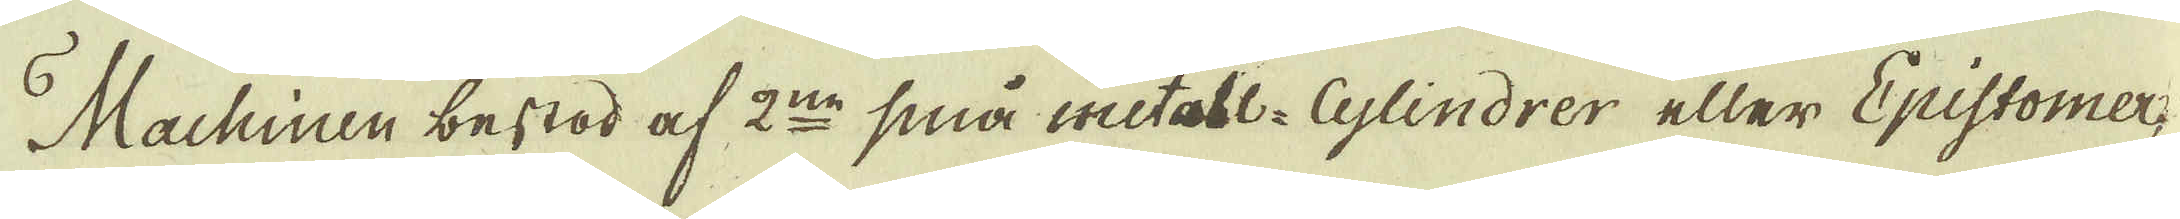Machiuen bestod af 2:ne små metall- Glindrer eller Epistomer
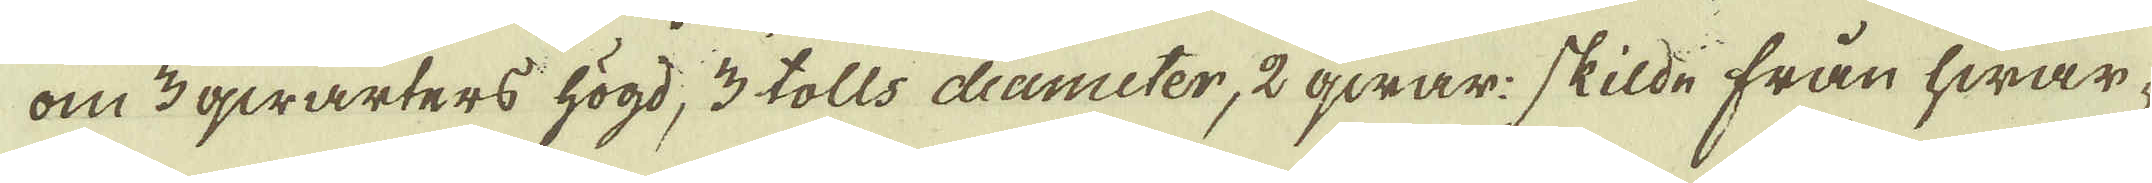om 3 qwarters högd, 3 tolls diameter, 2 qwar: skilde från hwar-
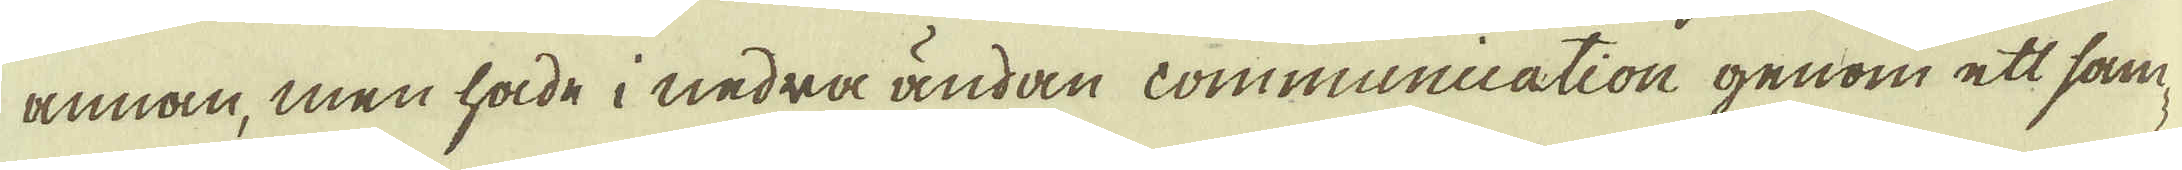annan, men hade i nedra ändan communication genom ett sam-
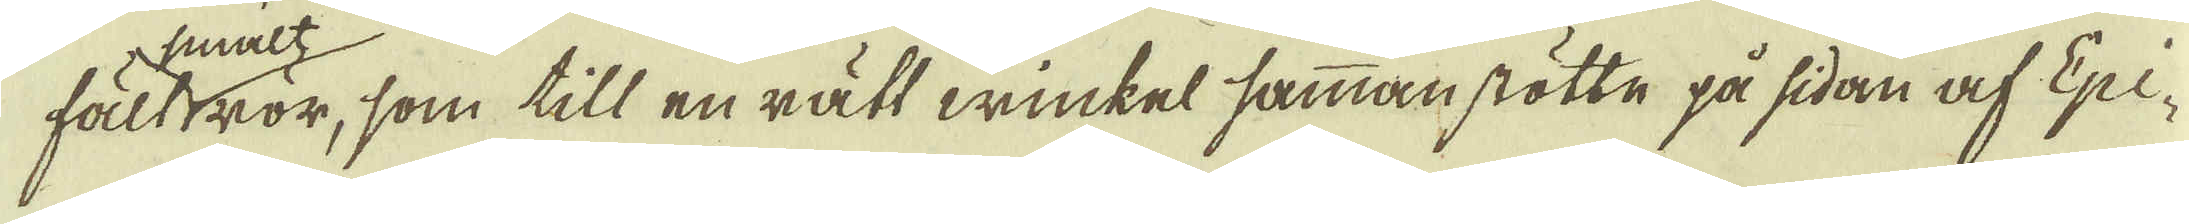fält wör, som till en rätt winkel sammanstötte på sidan af Epi-
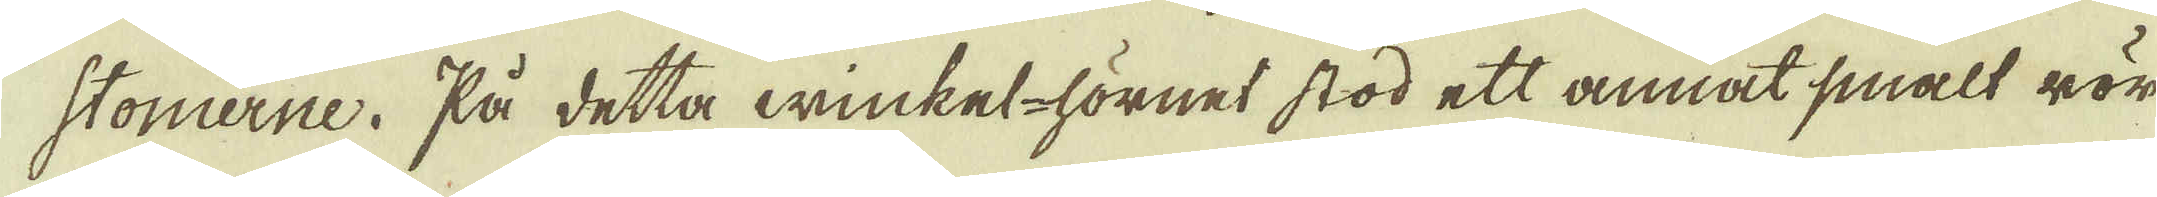stomerne. På detta winket-hörnet stod ett annat smalt rör
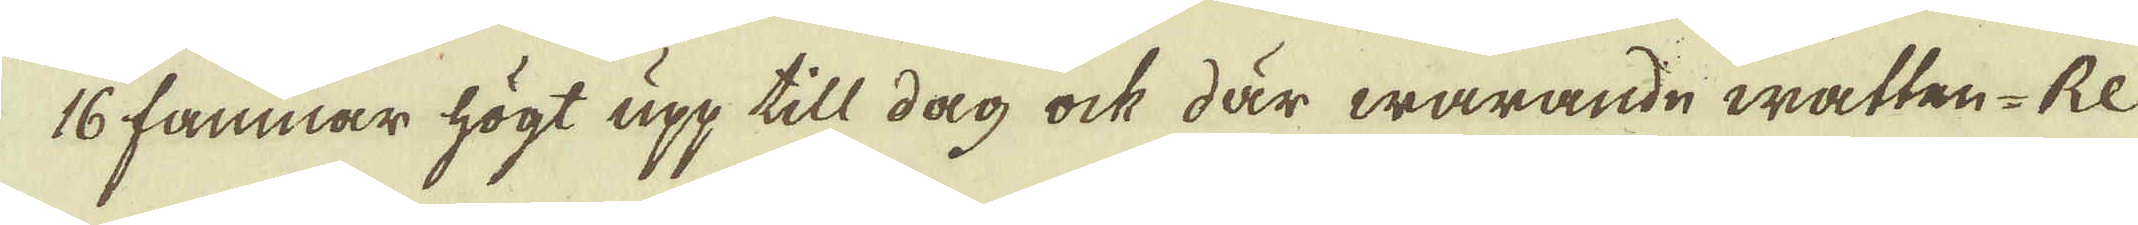16 famnar högt upp till dag ock där warande watten-Re-
